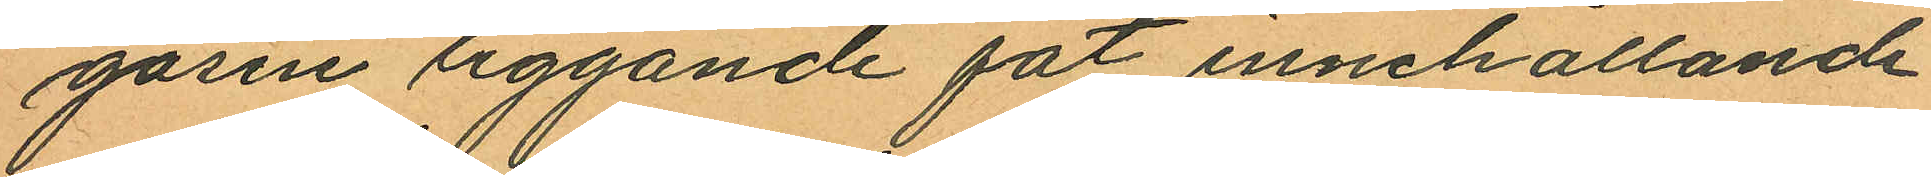gasin liggande fat innehållande
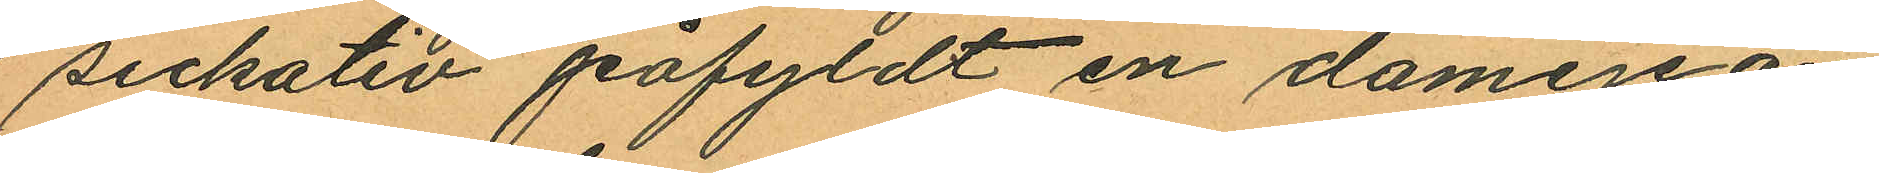sickativ påfyldt en damejean
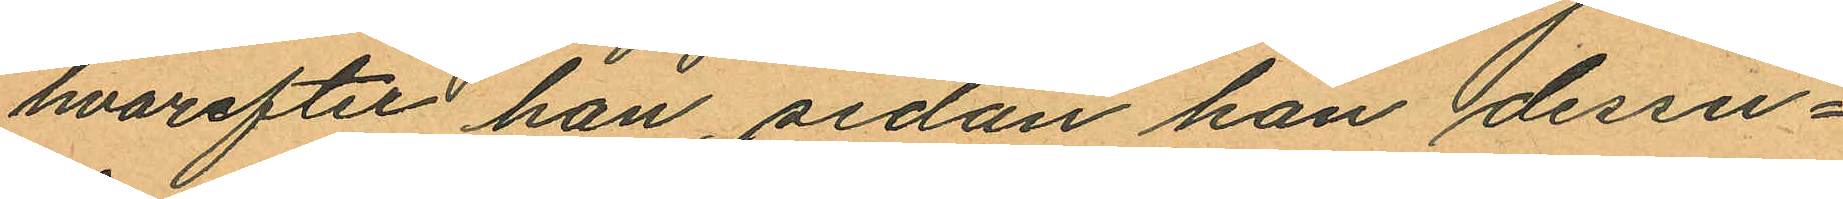hvarefter han, sedan han dessu¬
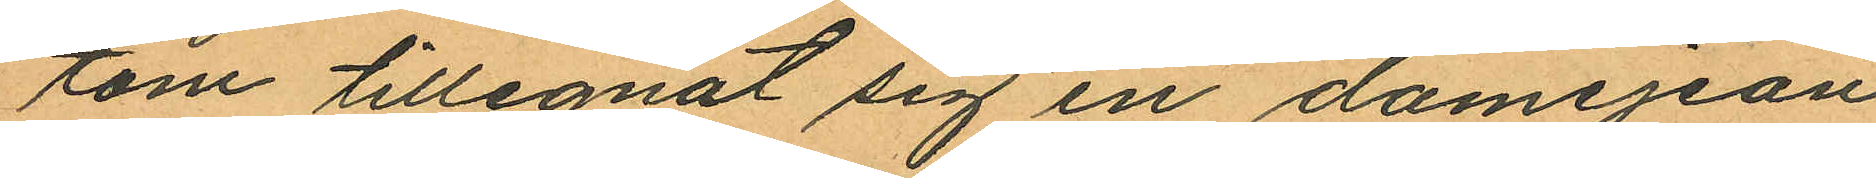tom tillegnat sig en damejean
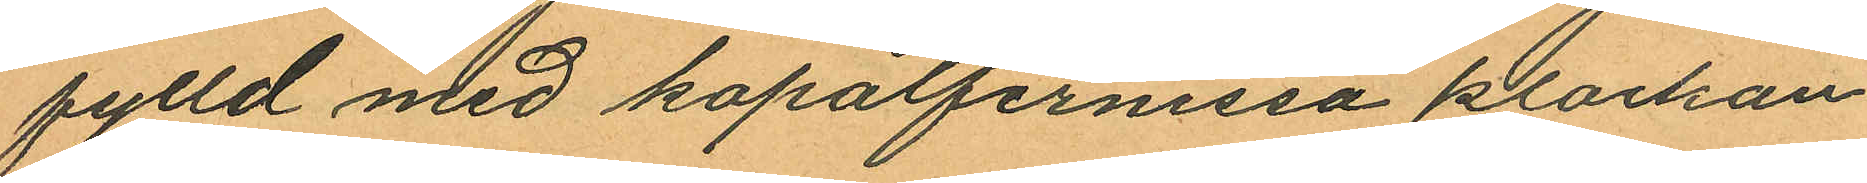fylld med kopalfernissa klockan
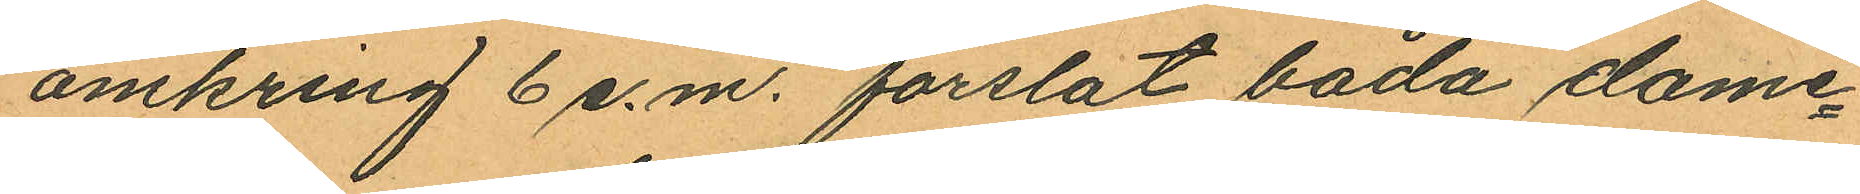omkring 6 e.m. forslat båda dame¬
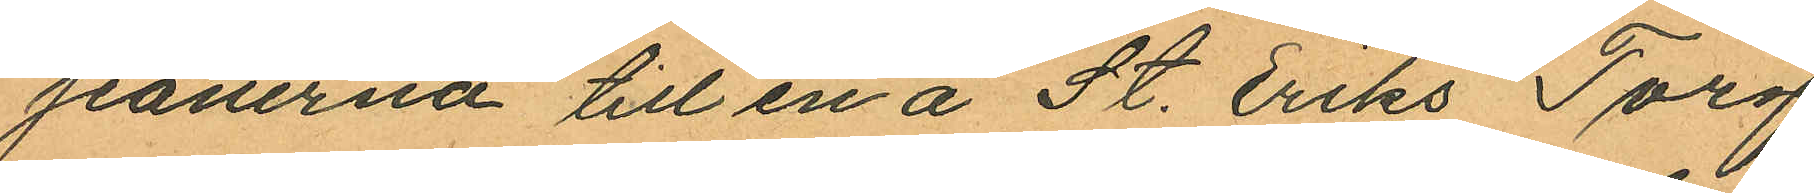jeanerna till en å St. Eriks Torg
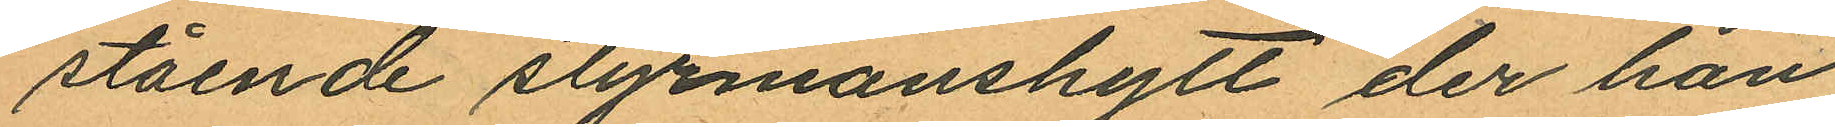stående styrmanshytt, der han
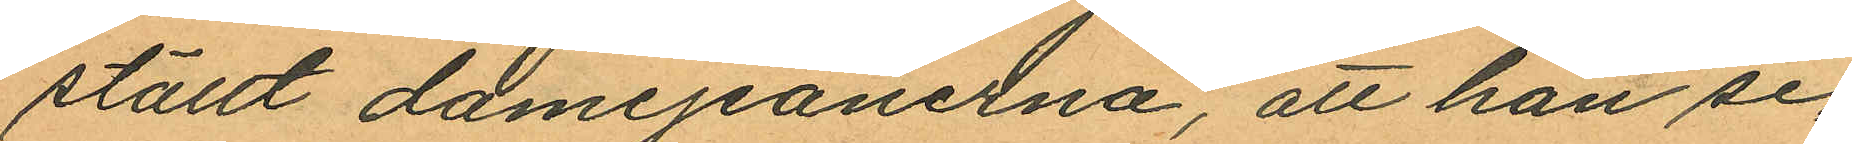ställt damejanerna, att han se¬
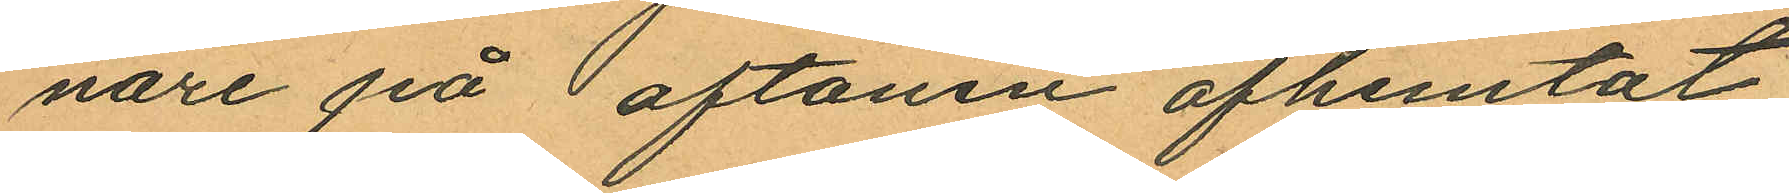nare på aftonen afhemtat
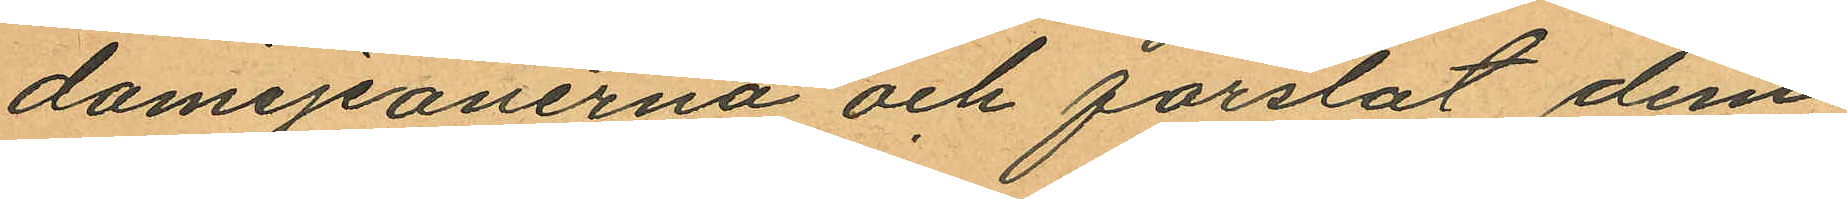damejeanerna och forslat dem
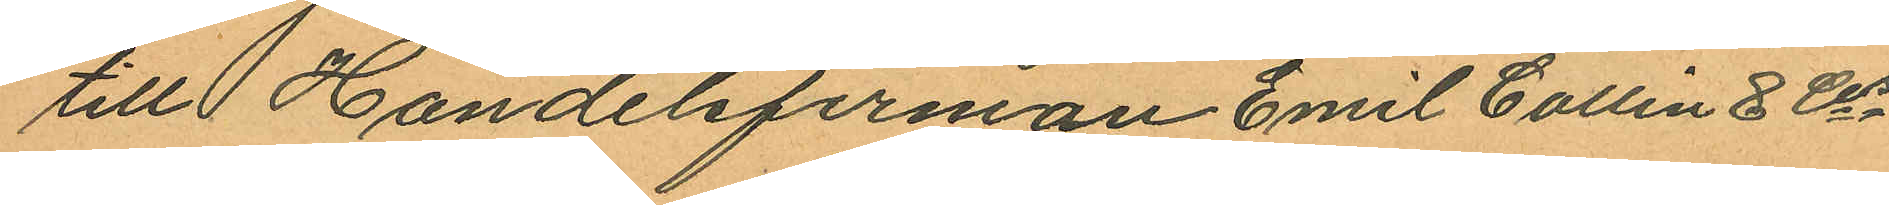till Handelsfirman Emil Collin & Cos
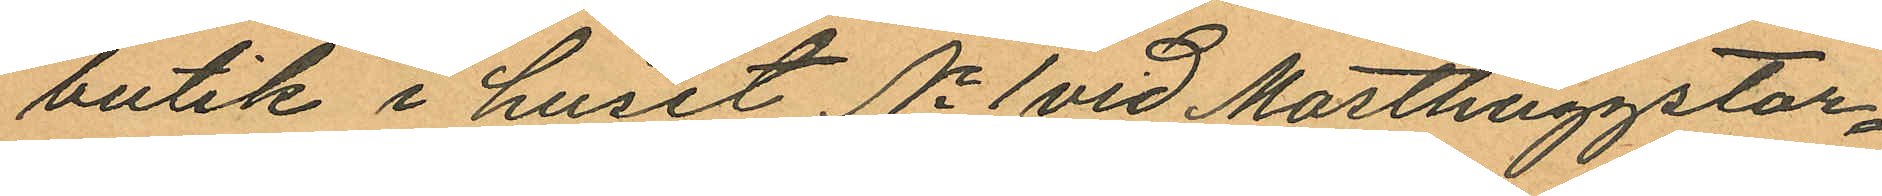butik i huset No 1 vid Masthuggstor¬
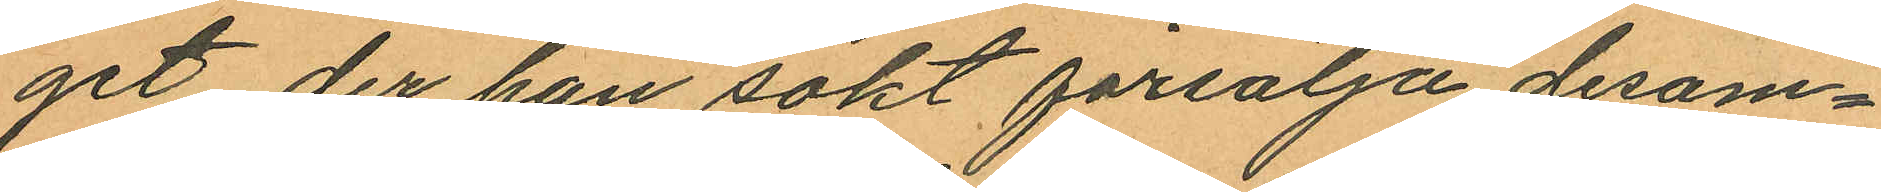get der han sökt försälja desam¬
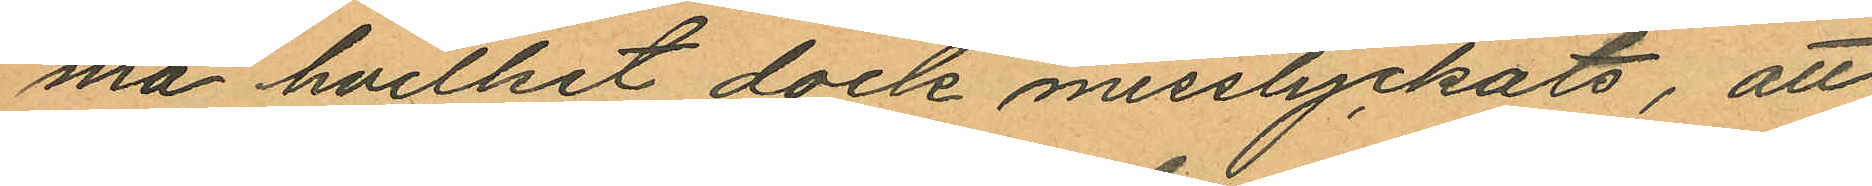ma hvilket dock misslyckats, att
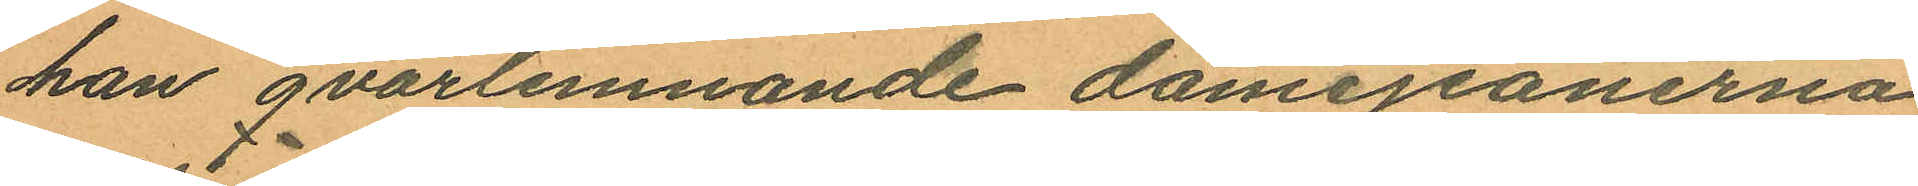han qvarlemnande damejeanerna
